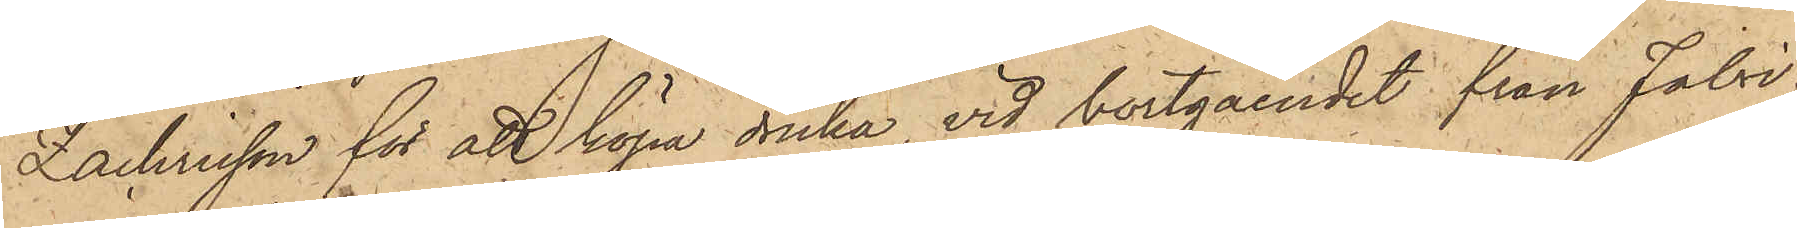Zachrisson för att köpa dricka, vid bortgåendet från Fabri¬
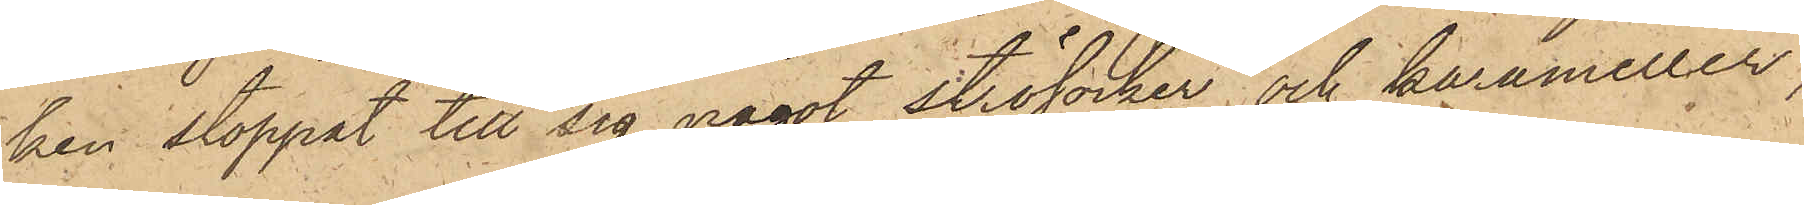ken stoppat till sig något strösocker och karameller,
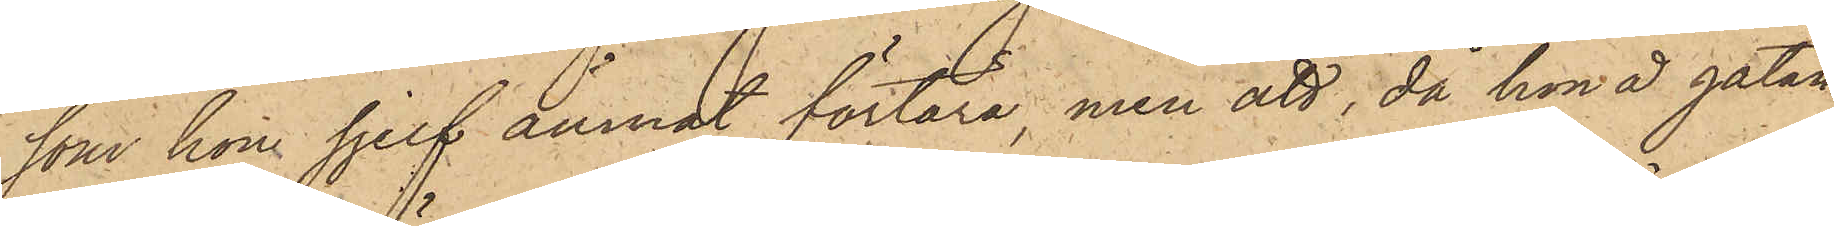som hon sjelf ämnat förtära, men att, då hon å gatan
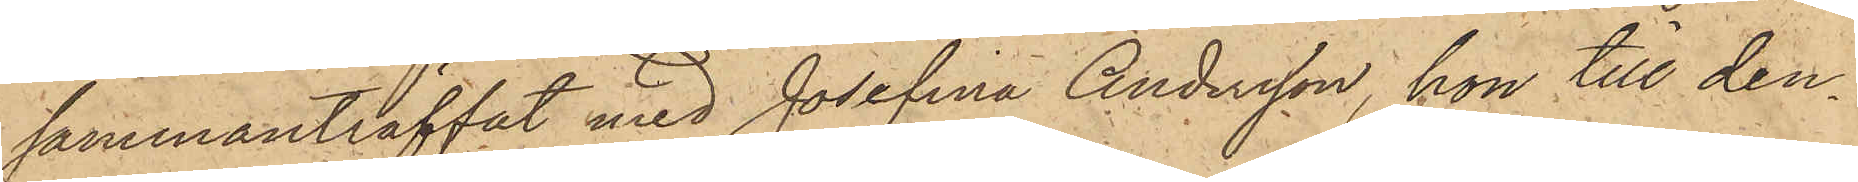sammanträffat med Josefina Andersson, hon till den¬
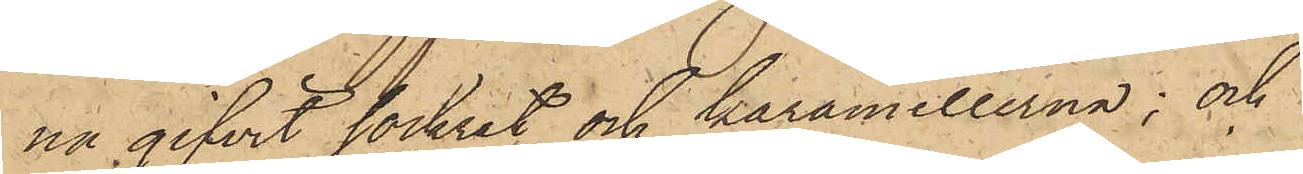na gifvit sockret och karamellerna; och
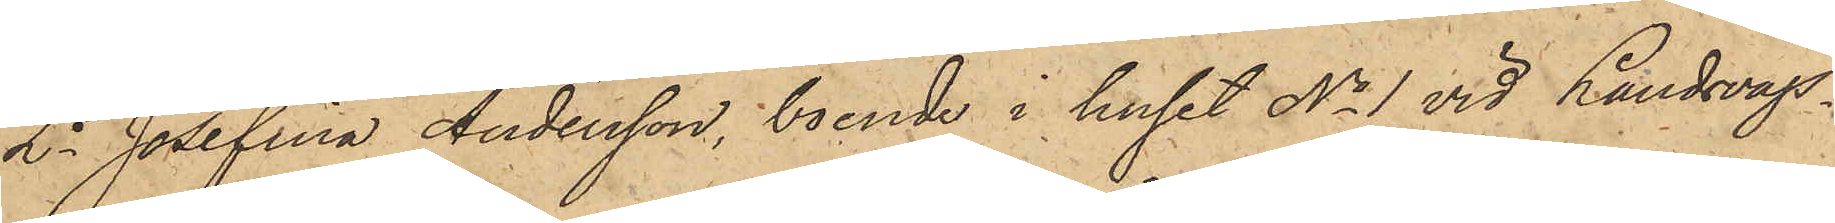2o Josefina Andersson, boende i huset No 1 vid Landsvägs¬
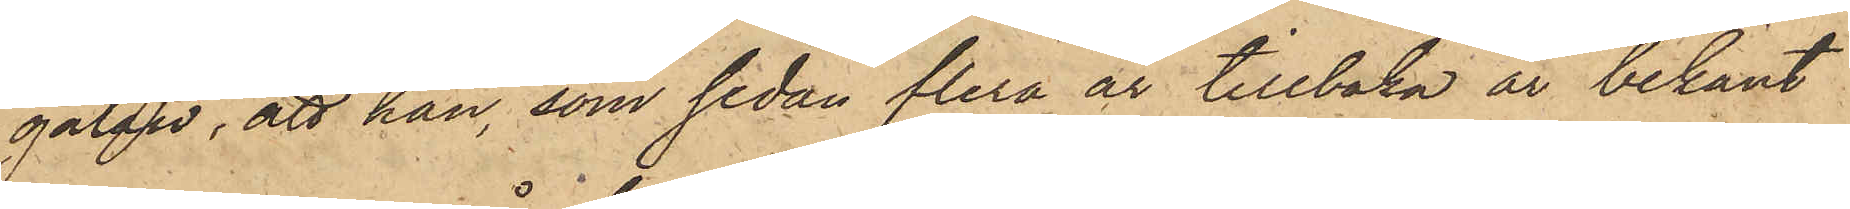gatan, att hon, som sedan flera år tillbaka är bekant
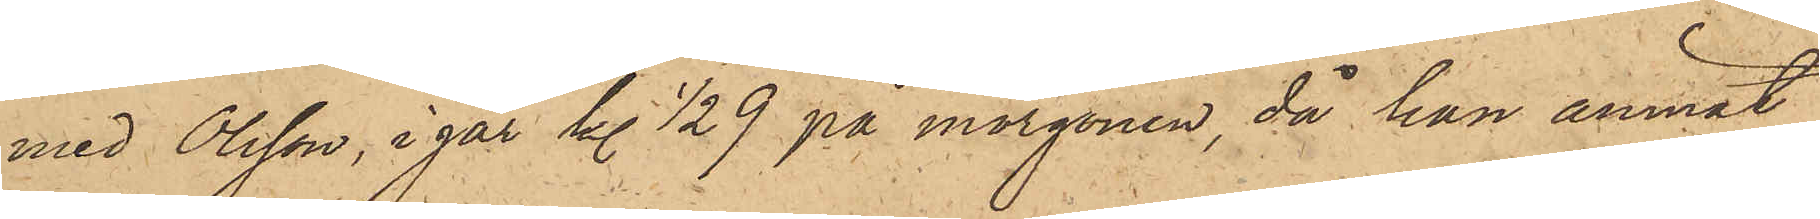med Olsson, i går kl.½9 på morgonen, då hon ämnat
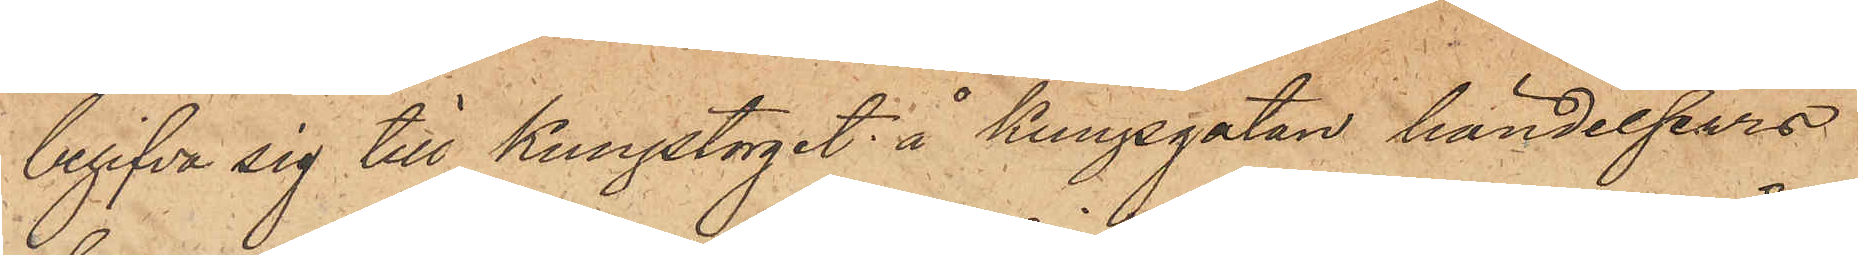begifva sig till Kungstorget å Kungsgatan händelsevis
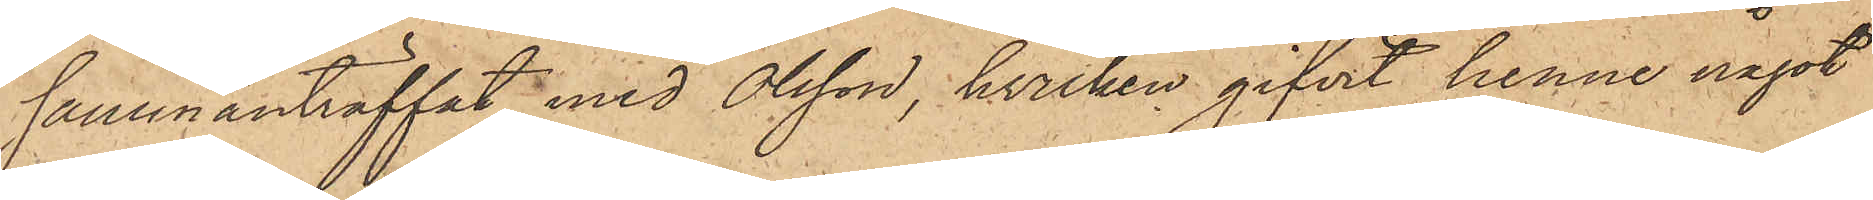sammanträffat med Olsson, hvilken gifvit henne något
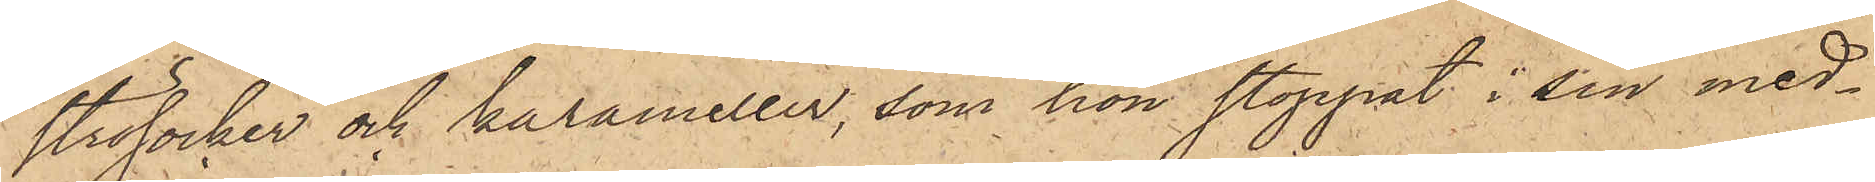strösocker och karameller, som hon stoppat i sin med¬
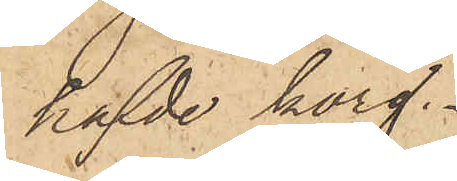hafde korg.
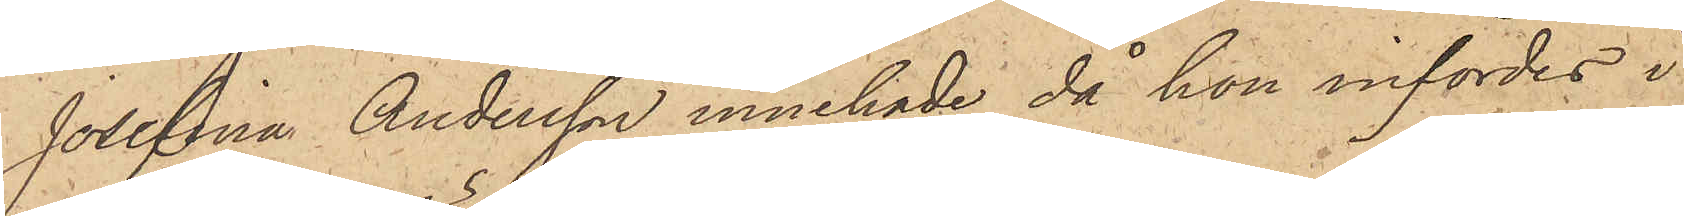Josefina Andersson innehade då hon infördes i
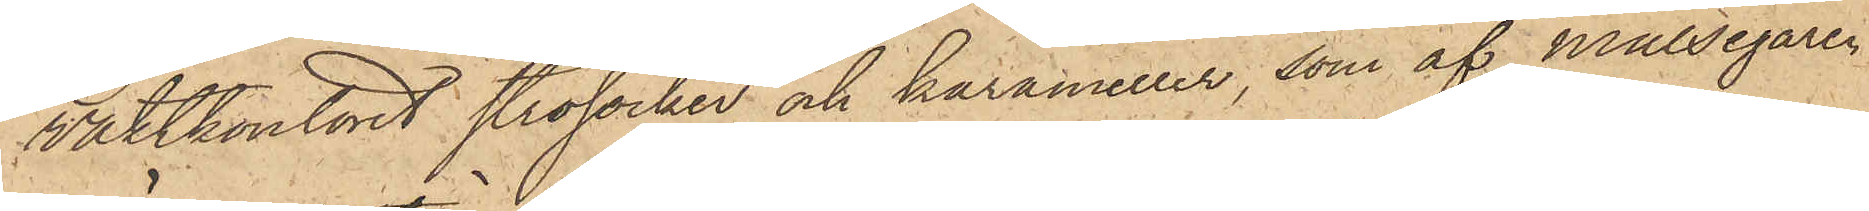vaktkontoret strösocker och karameller, som af målsegaren
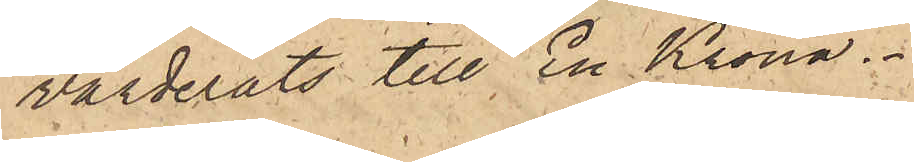värderats till En Krona.
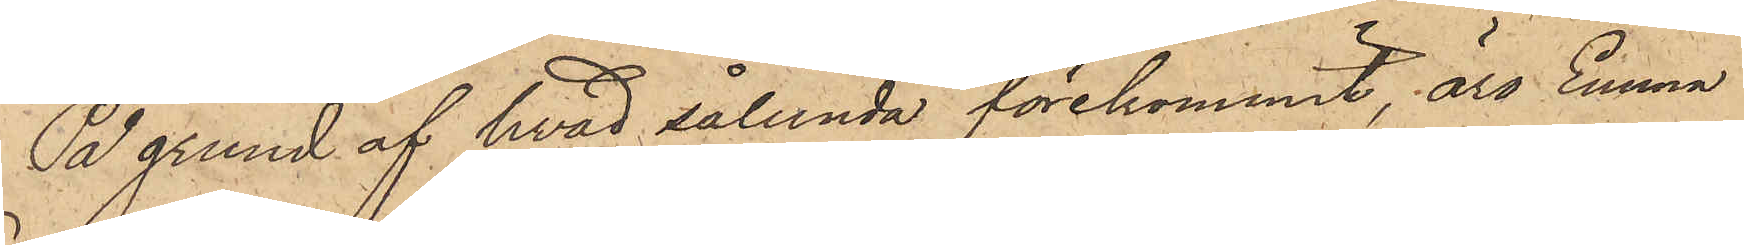På grund af hvad sålunda förekommit, äro Emma
